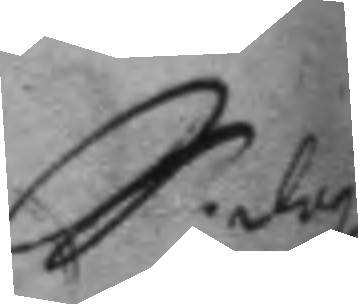S. dag
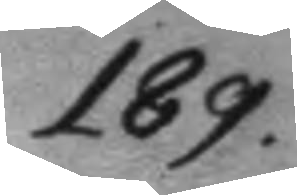189.
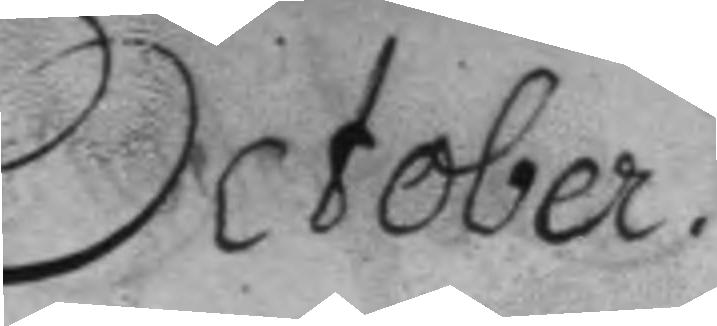October.
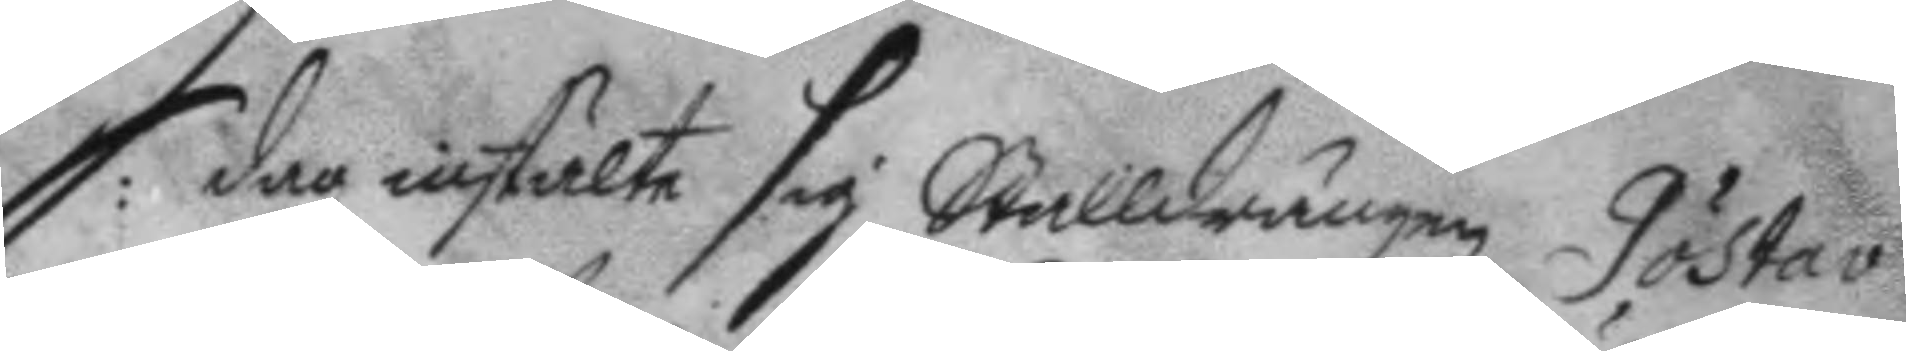S: dag instälte sig Stalldrängen Göstav
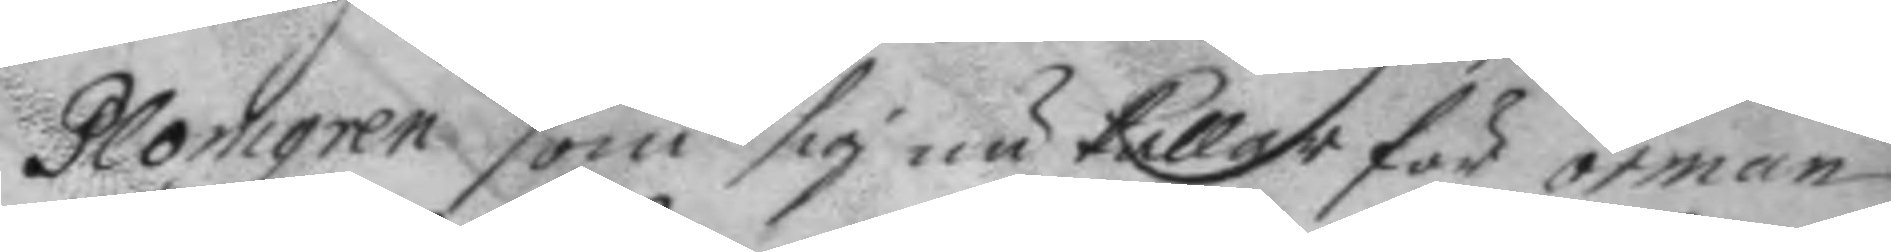Plomgren som sig nu kallar för örman
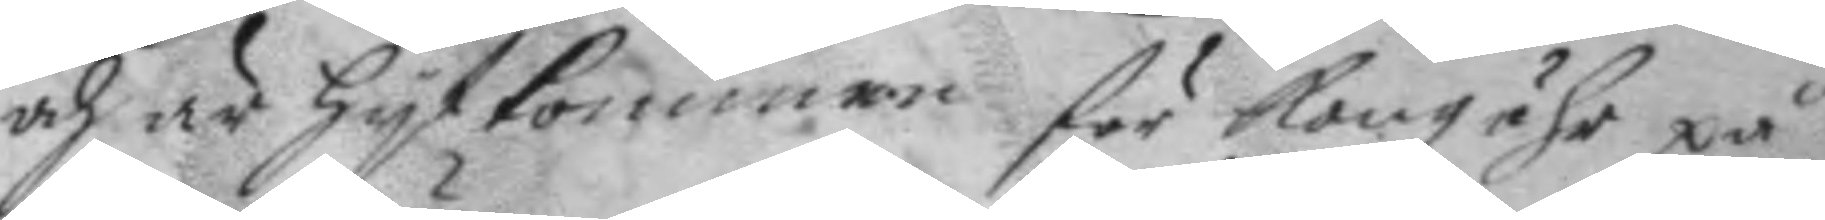och är hytkommen för kongzöhr på
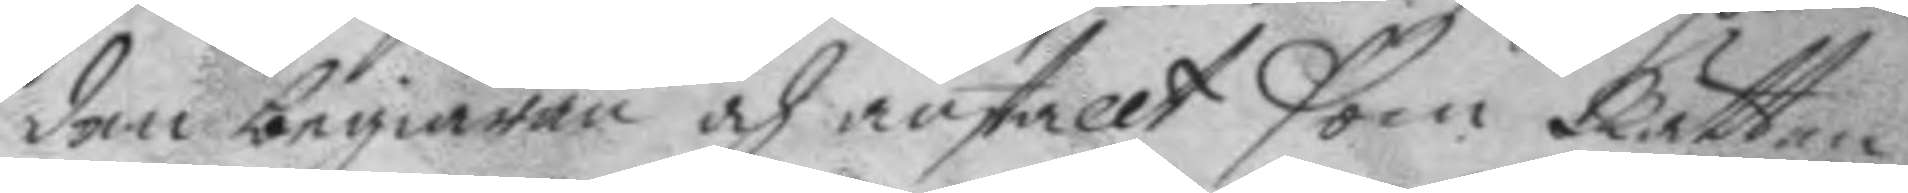den begiäran och anstallt som Rätten
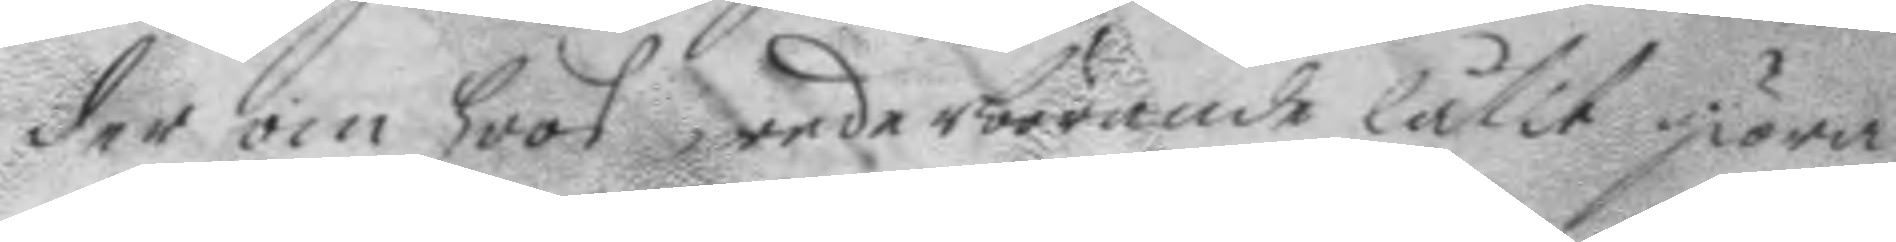der om hoos wederbörande låtit giöra,
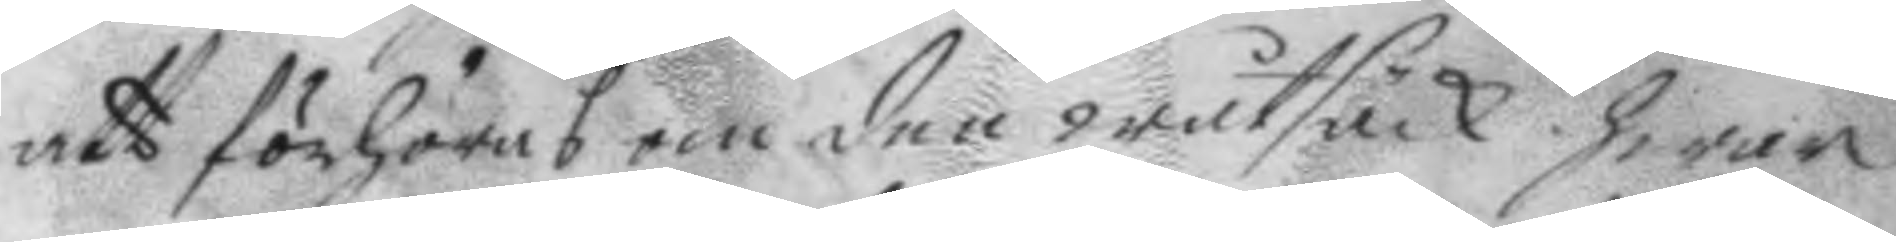att förhöras om den wåtsäck hwar
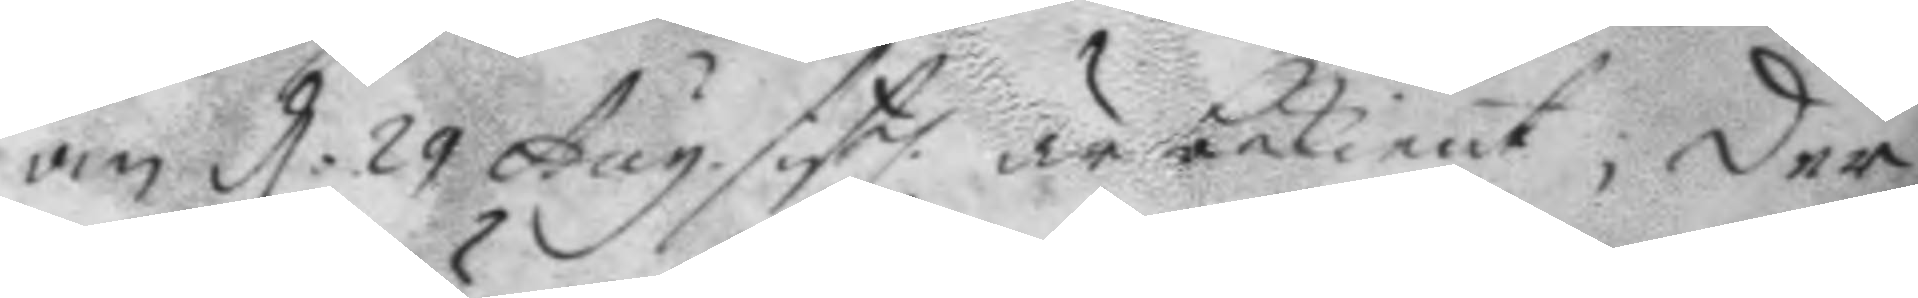om d: 29 Aug. sistl. är bekient, der
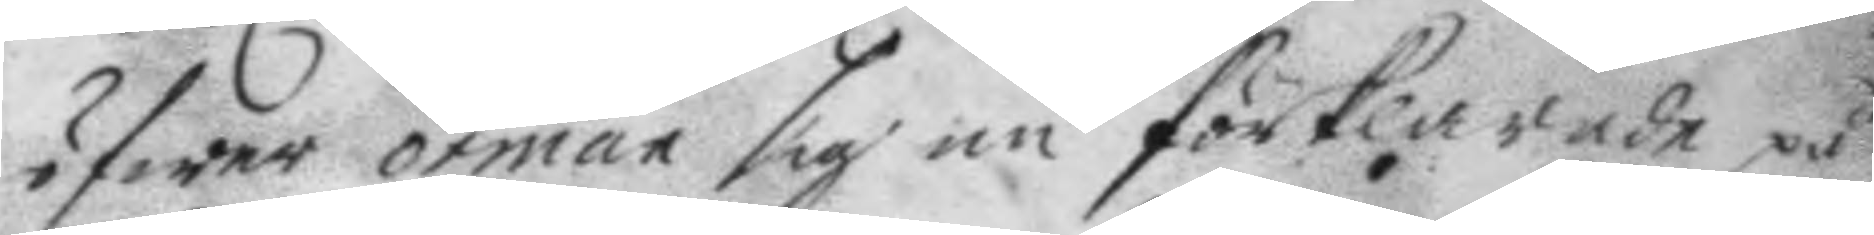öfwer örman sig nu förklarade på
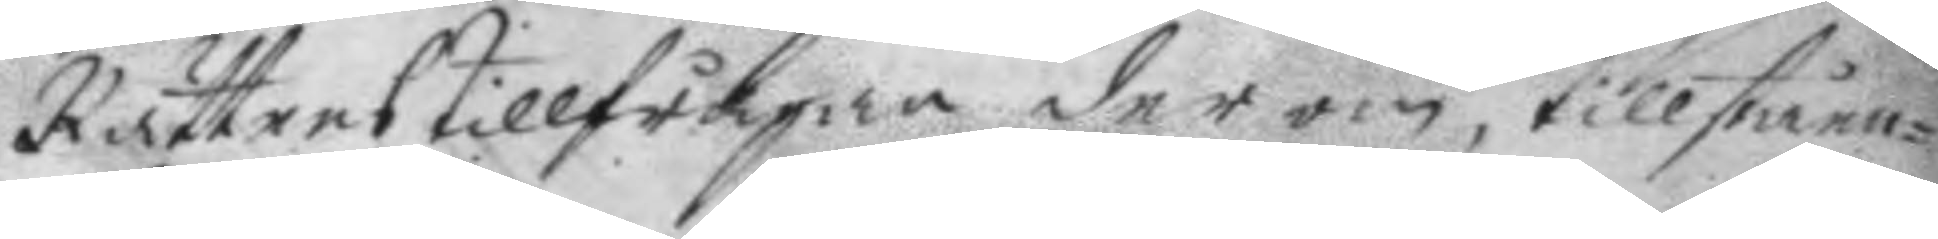Rättens tillfrågan der om, tillståen¬
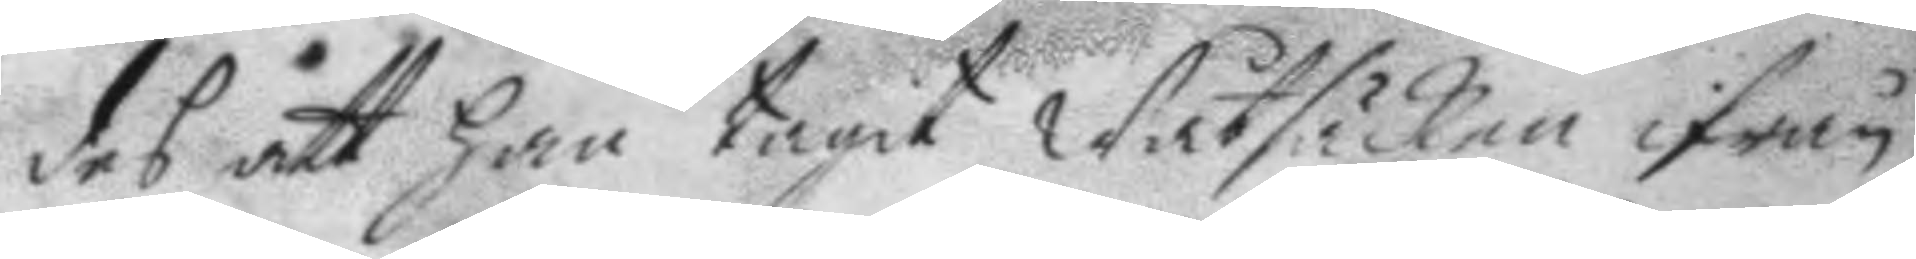des att han tagit Wåtsäcken ifrån
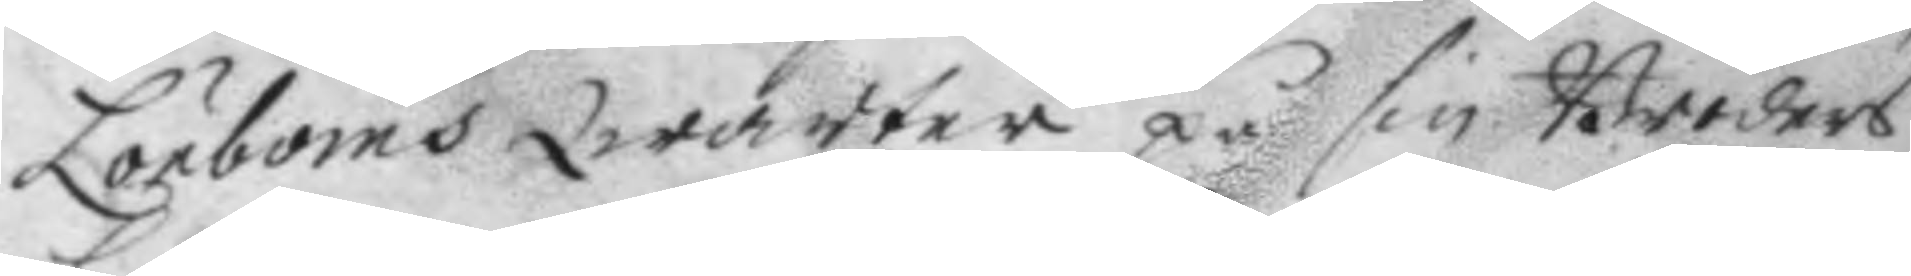Lönboms Qwarter på sin Broders
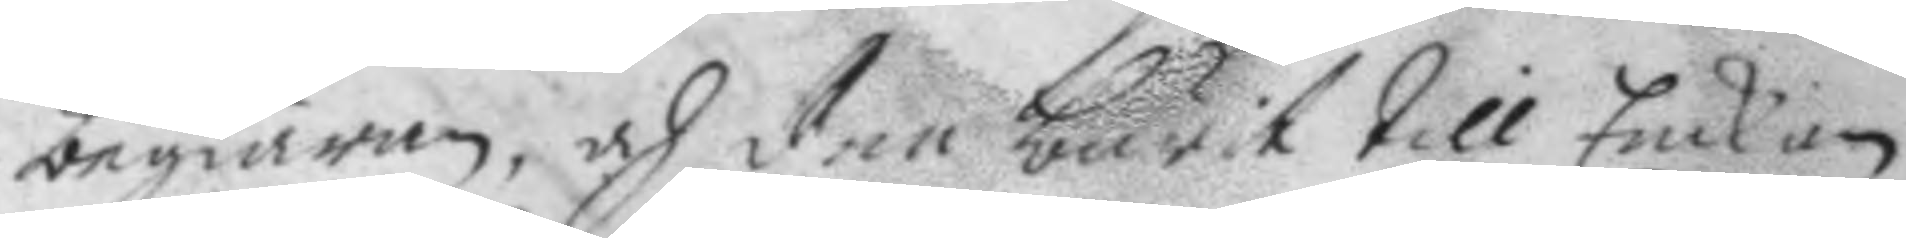begiäran, och den burit till Enckian
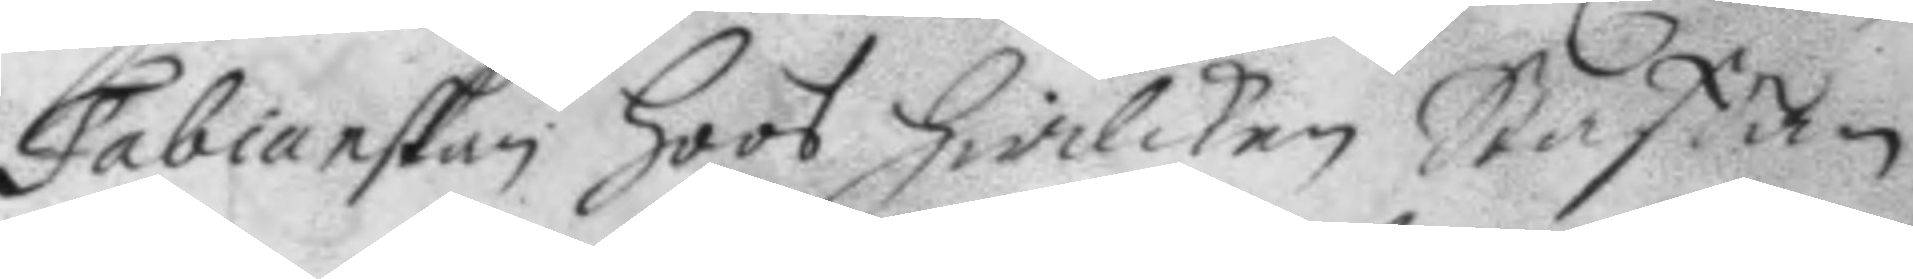Fabianskan hoos hwilken Staffan
